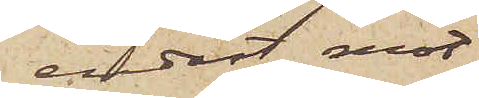endast mot
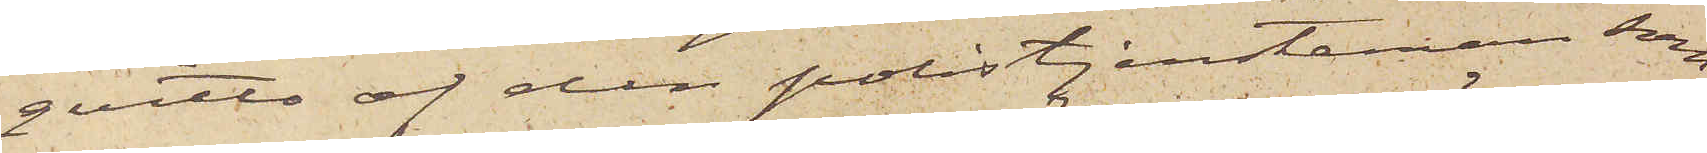qvitto af den polistjensteman, som
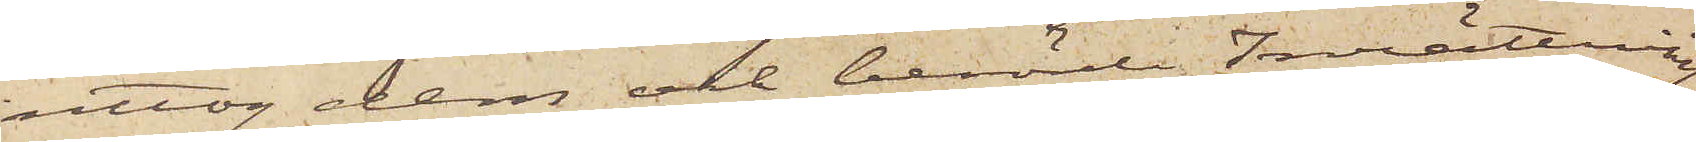uttog dem, och berörde Inrättning
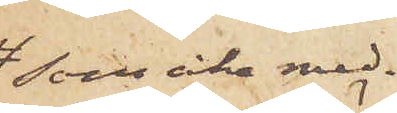som icke med¬
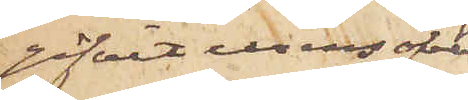gifvit urens öfver¬
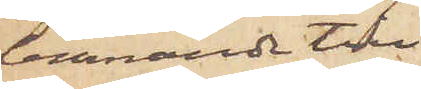lemnande till
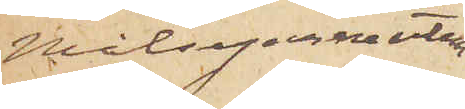Målsegarne utan
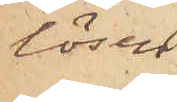lösen
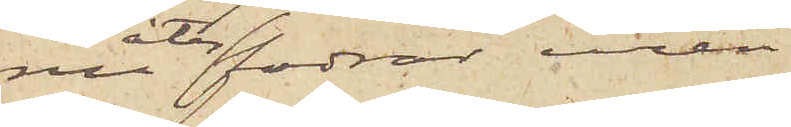nu återfodrar uren
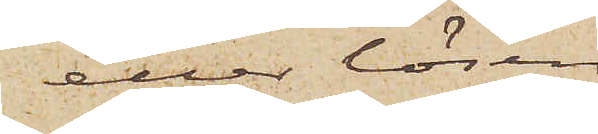eller lösen
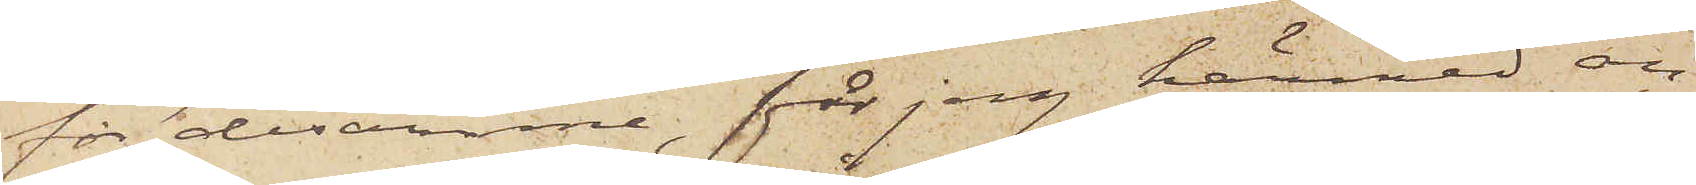för desamme, får jag härmed an¬
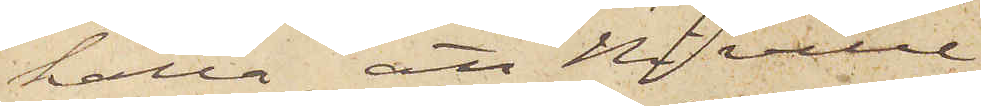hålla, att Ni ville
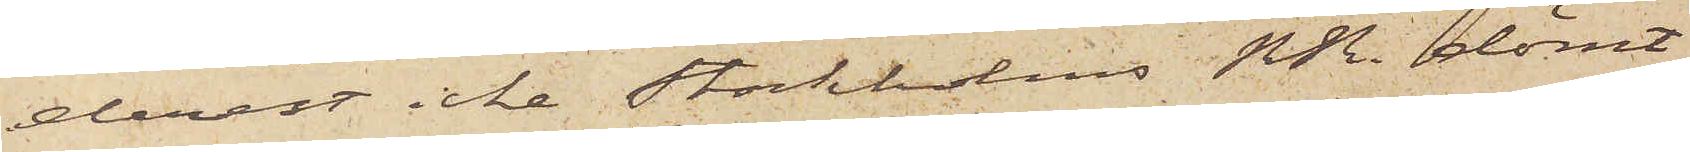derest icke Stockholms RR. dömt
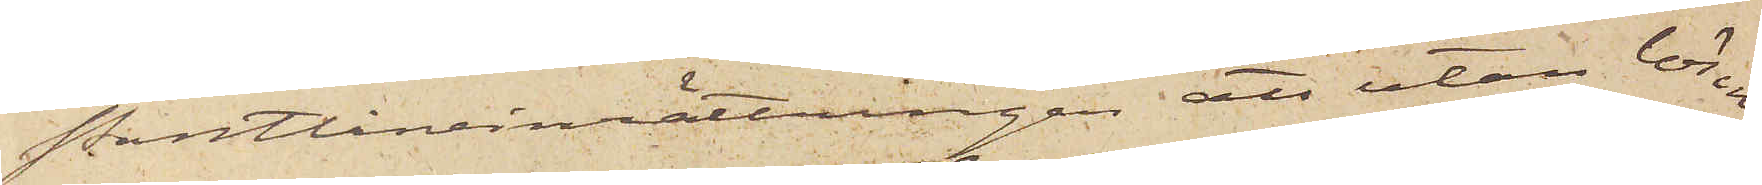Pantlåneinrättningen att utan lösen
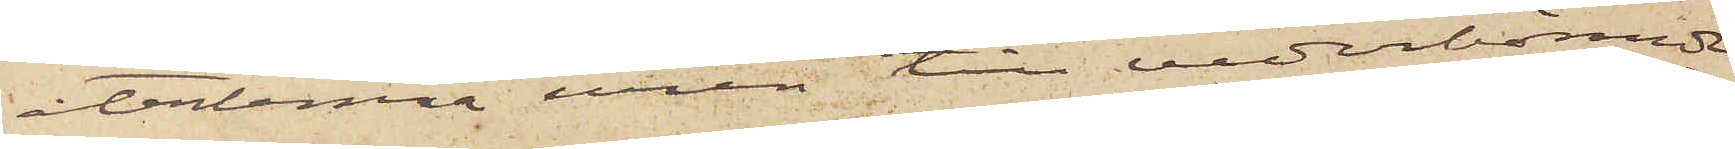återlemna uren till vederbörande
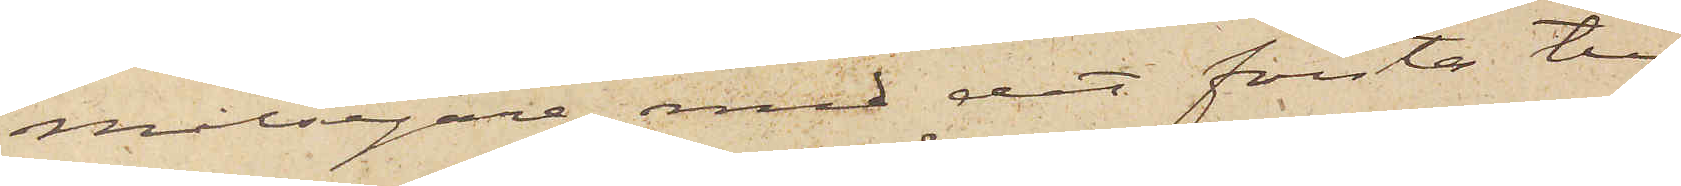Målsegare, med det första till
